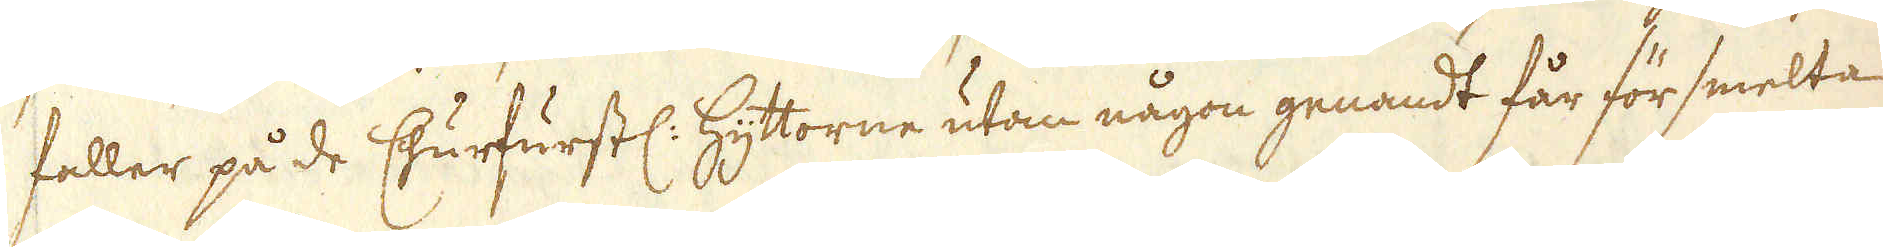faller på de Churfurstl: Hyttorne utan någon genandt får för smelta
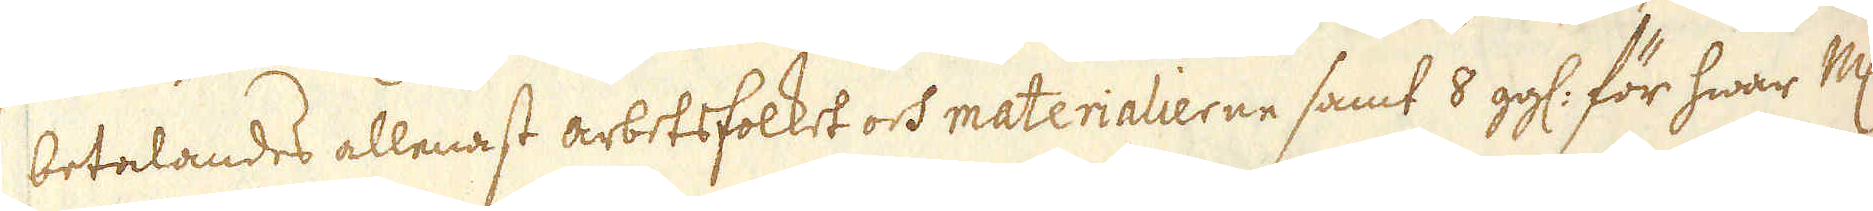betalandes allenast arbetsfolket och materialierne samt 8 gg: för hwar marker
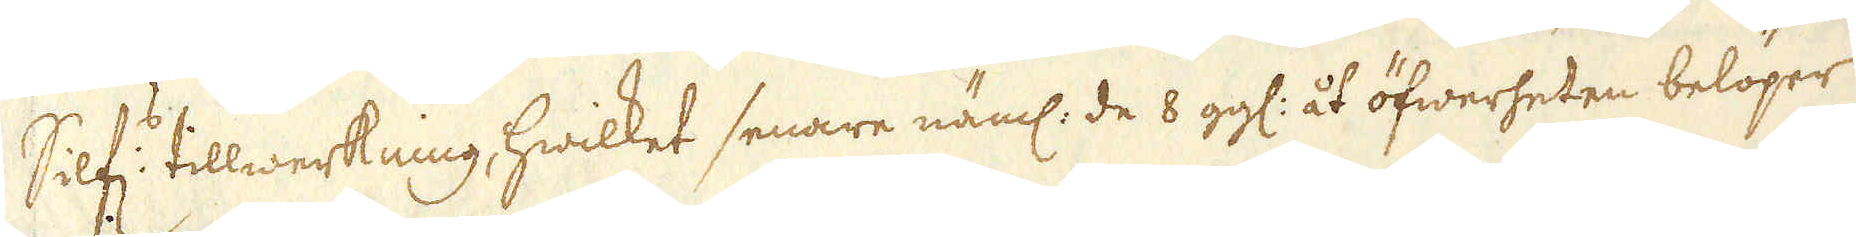Silf:s tillwerkning, hwilket senare näml: de 8 gg: åt öfwerheten belöper
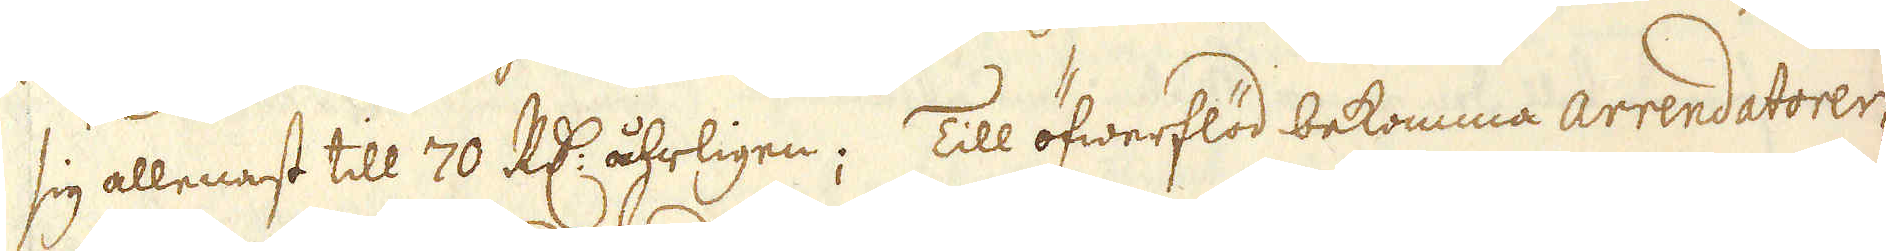sig allenast till 70 R:dr åhrligen; Till öfwerflöd bekomma arrendatorer-
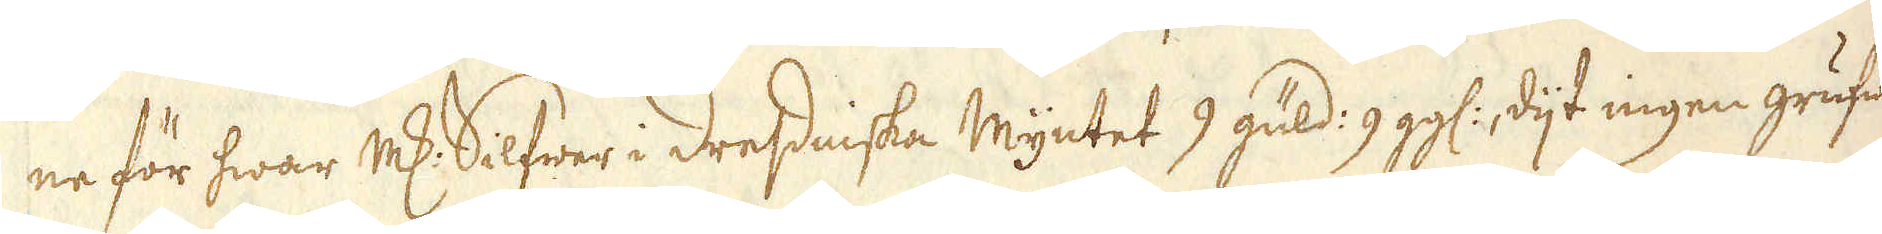ne för hwar marker Silfwer i dressniska Myntet 9 guld: 9 gg:, dijt ingen grufwa
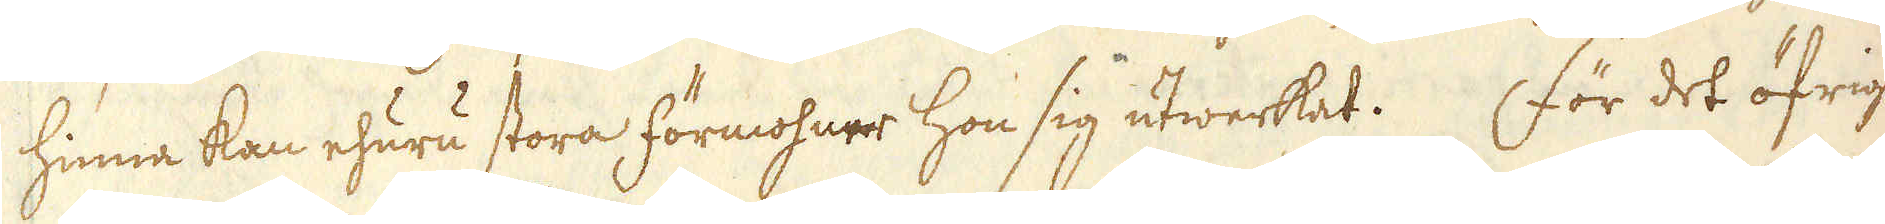hinna kan ehuru stora förmohner hon sig utwerkat. För det öfriga
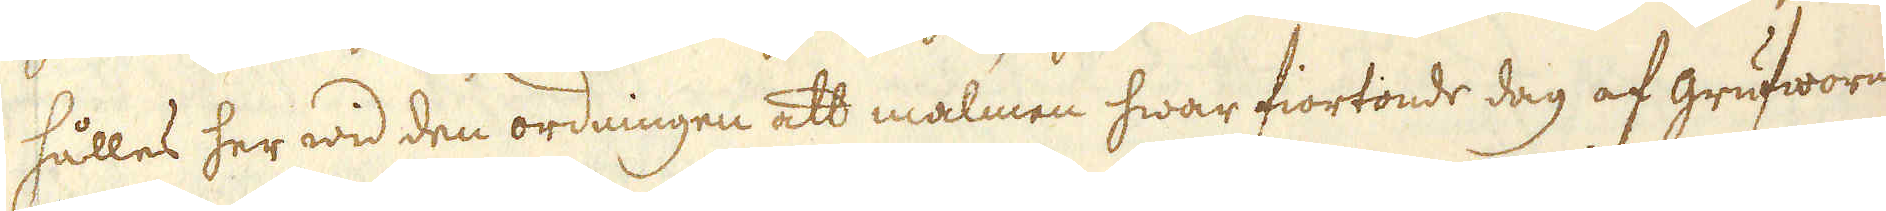hålles her wid den ordningen att malmen hwar fiortonde dag af grufworne
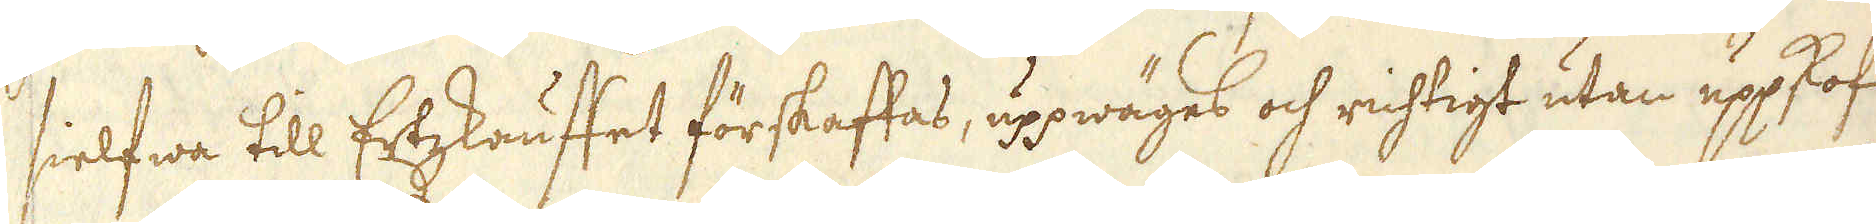sielfwa till Ertzskauffet förskaffas, uppwäges och richtigt utan uppskof
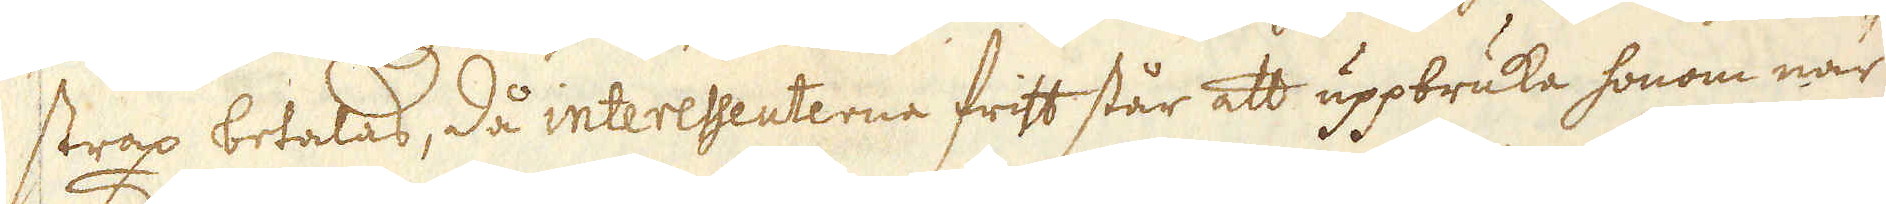strax betalas, då interesseuterna fritt står att uppbruka honom när
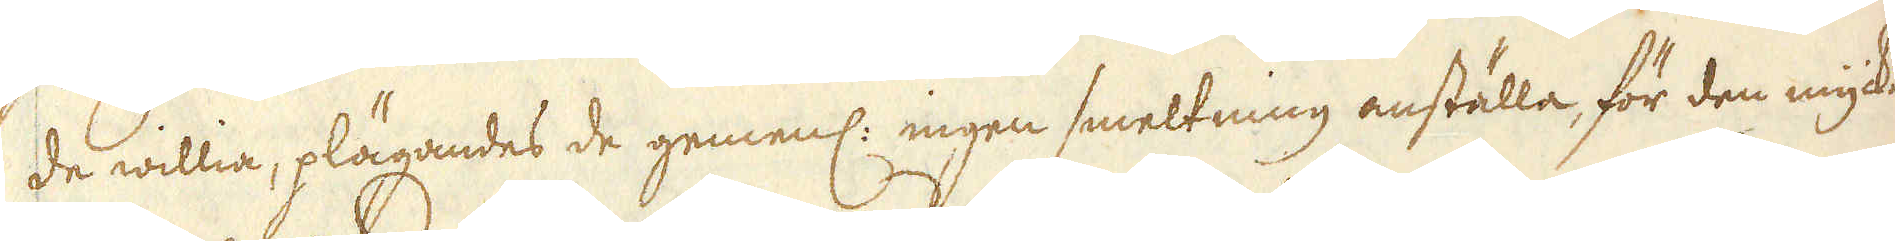de willia, plägandes de gemenl: ingen smeltning anställa, för den myckna
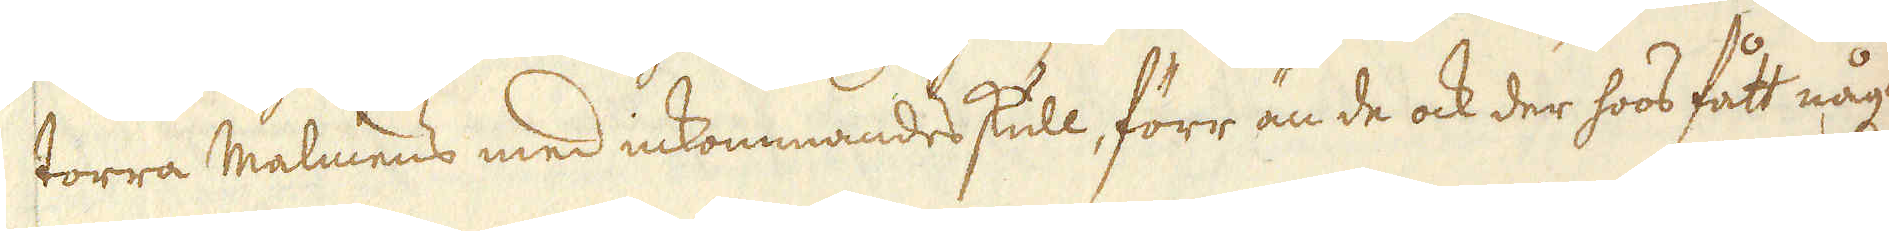torra Malmens med inkommandes skull, förr än de ock der hos fått någon
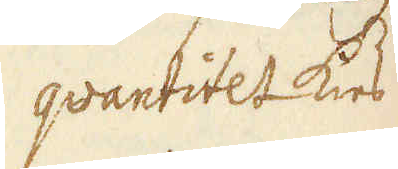quantitet kies
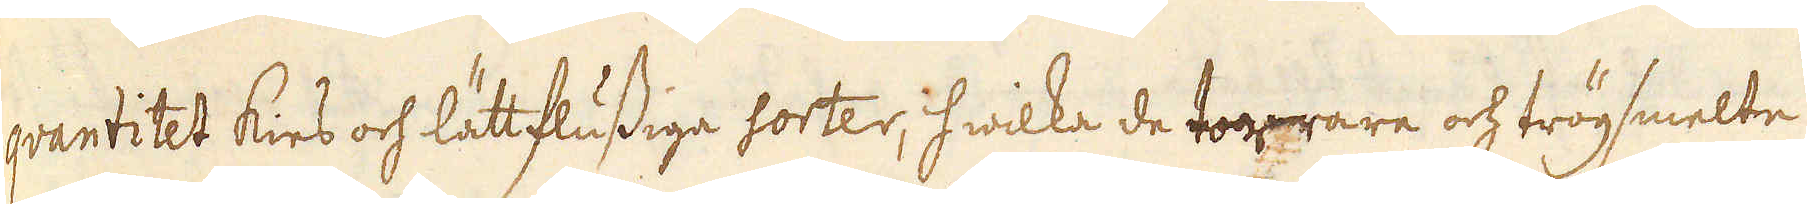qvantitet kies och lättflussiga sorter, hwilka de torprare och trögsmelte
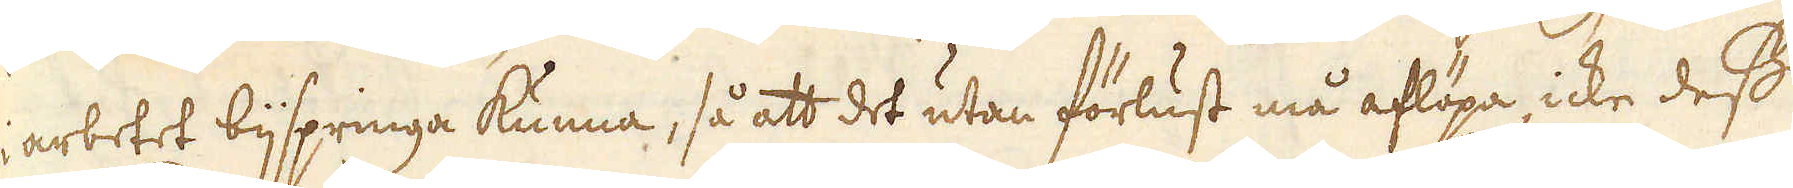i arbetet bijspringa kunna, så att det utan förlust må aflöpa, icke dess
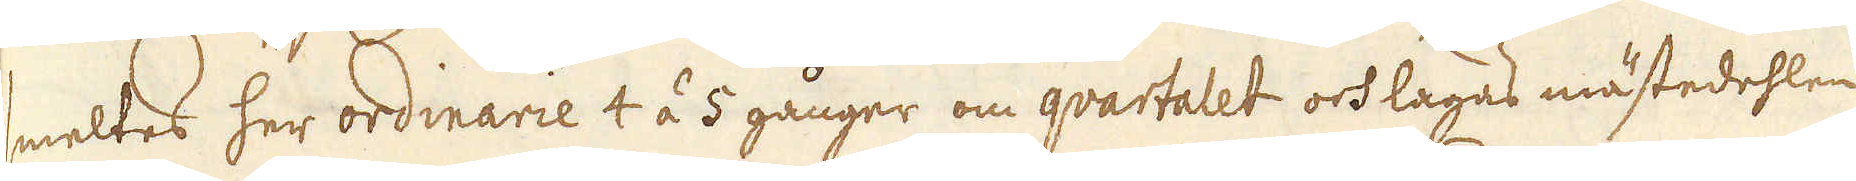smeltes her ordinarie 4 á 5 gånger om quartalet och lagas mästedehlen
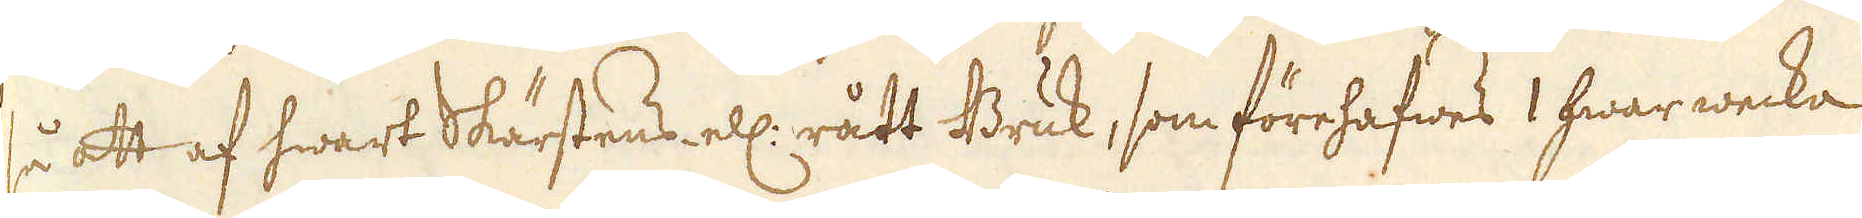så att af hwart Skärstens ell: rått Bruk, som förehafwes 1 hwar wecka
